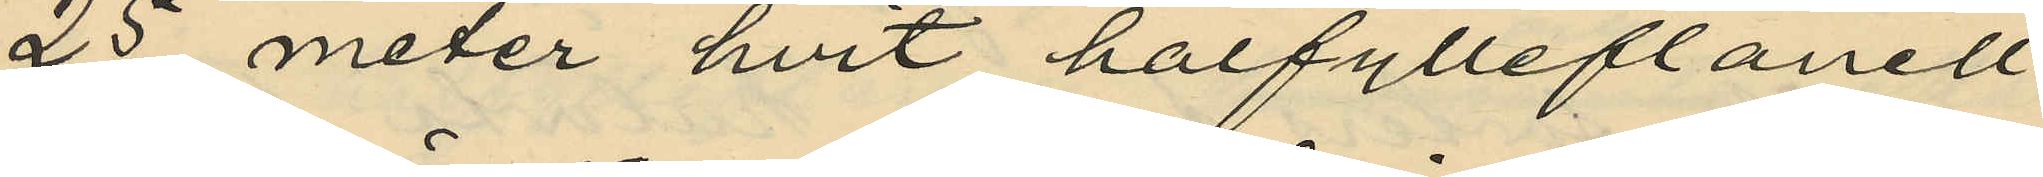25 meter hvit halfylleflanell
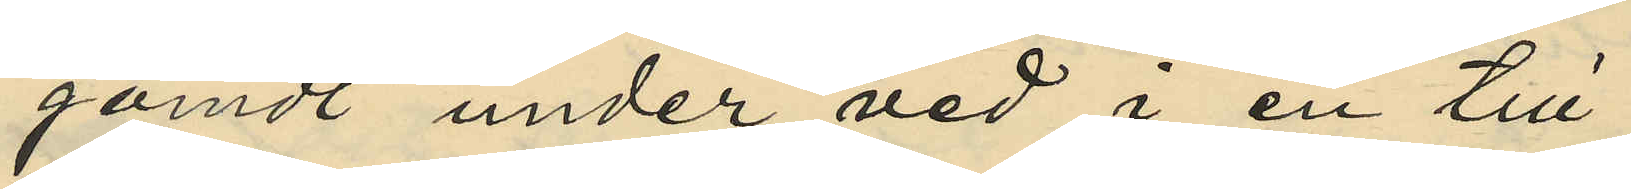gömdt under ved i en till
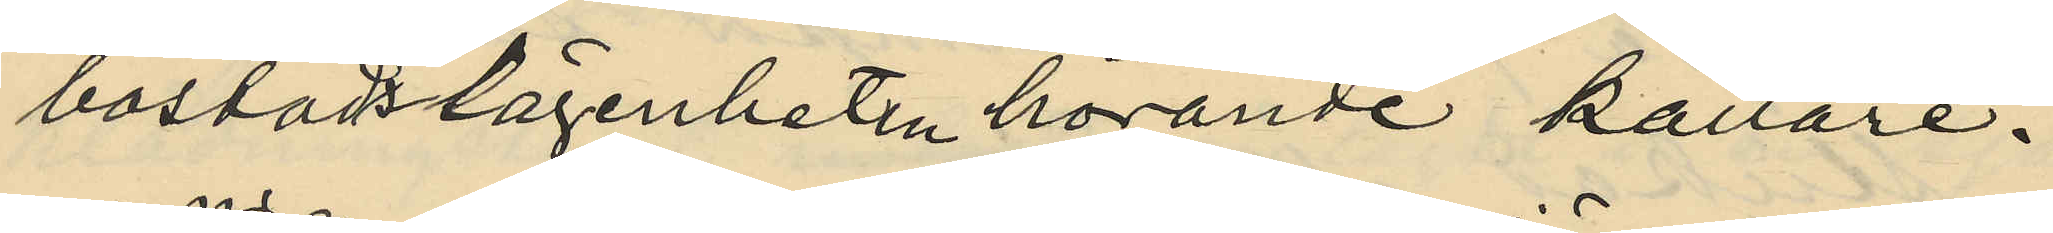bostadslägenheten hörande källare.
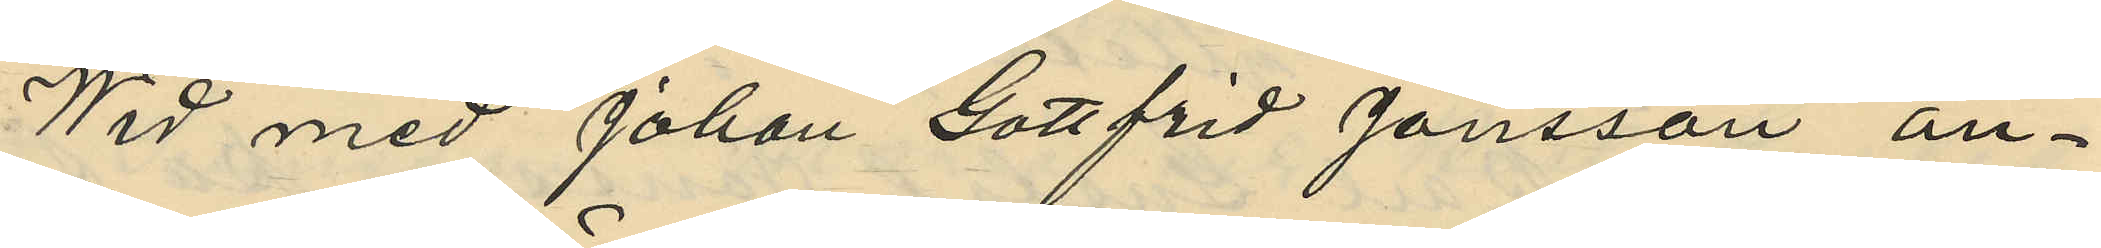Wid med Johan Gottfrid Jönsson an¬
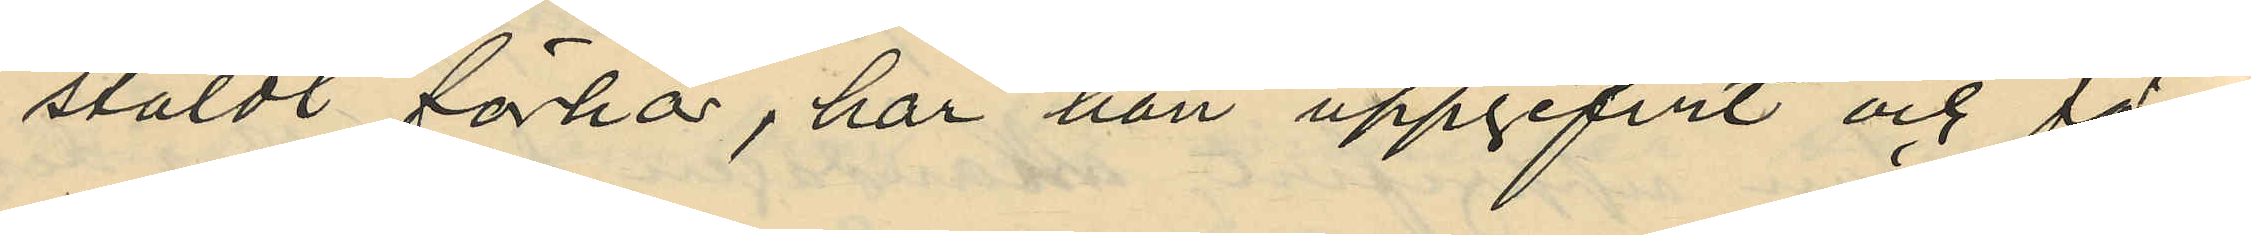stäldt förhör, har han uppgifvit och för¬
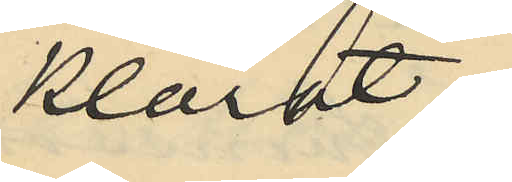klarat:
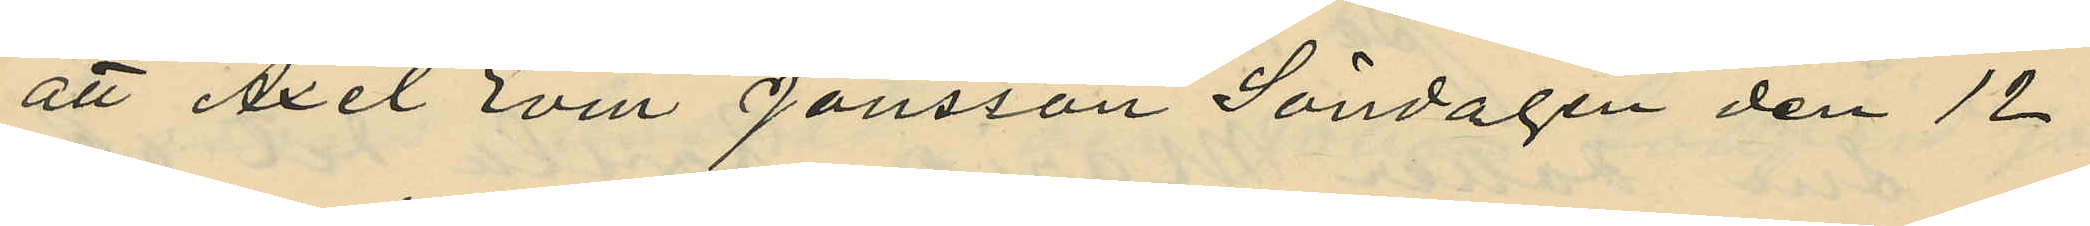att Axel Evin Jönsson Söndagen den 12
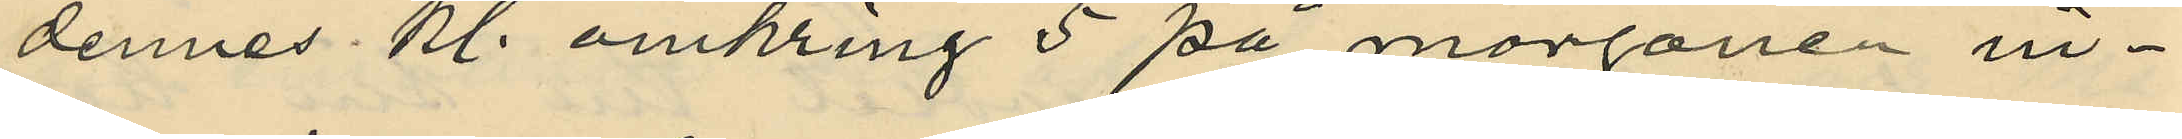dennes kl. omkring 5 på morgonen in¬
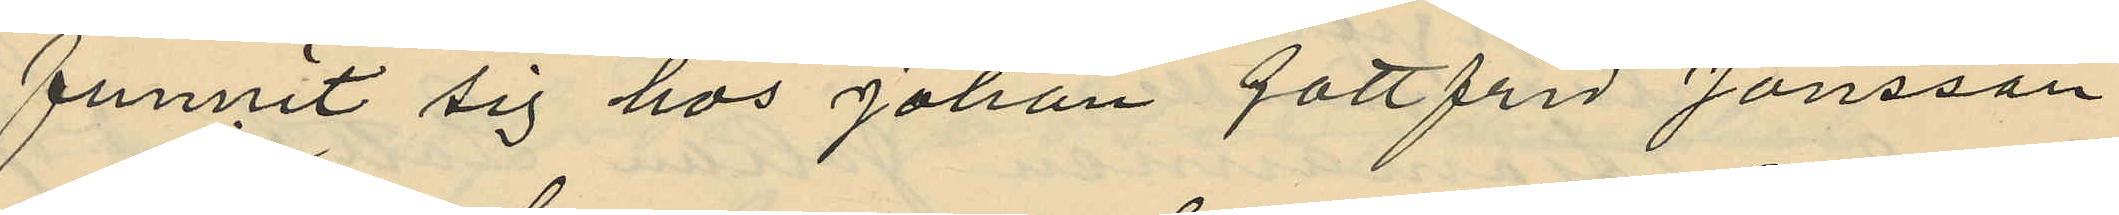funnit sig hos Johan gottfrid Jönsson
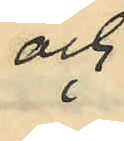och
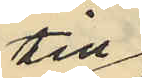till
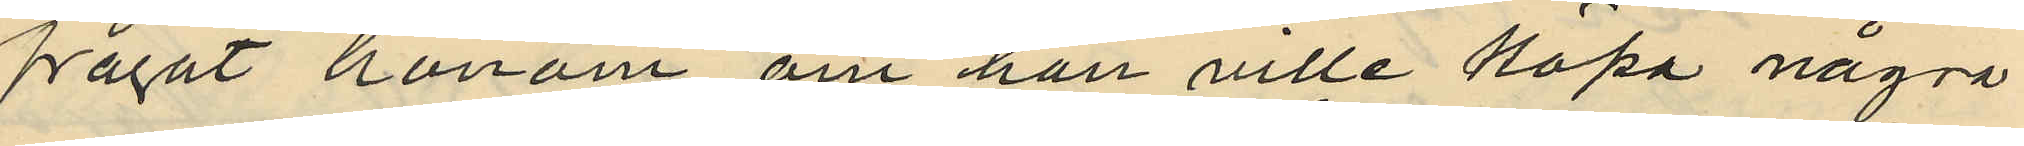frågat honom om han ville köpa några
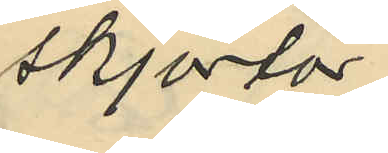skjortor
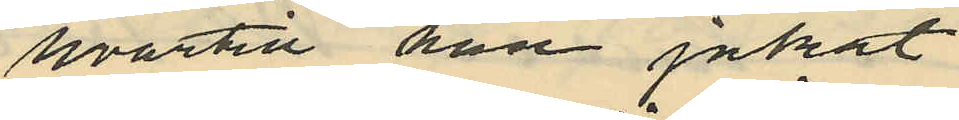hvartill han jakat
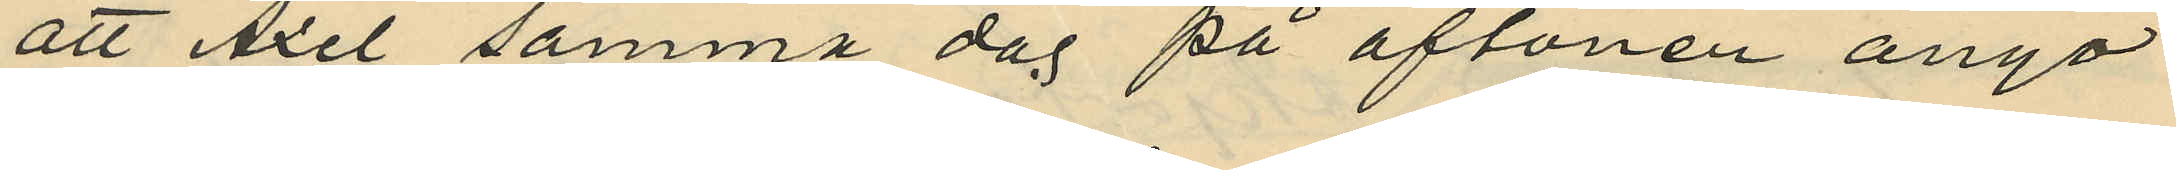att Axel samma dag på aftonen ånyo
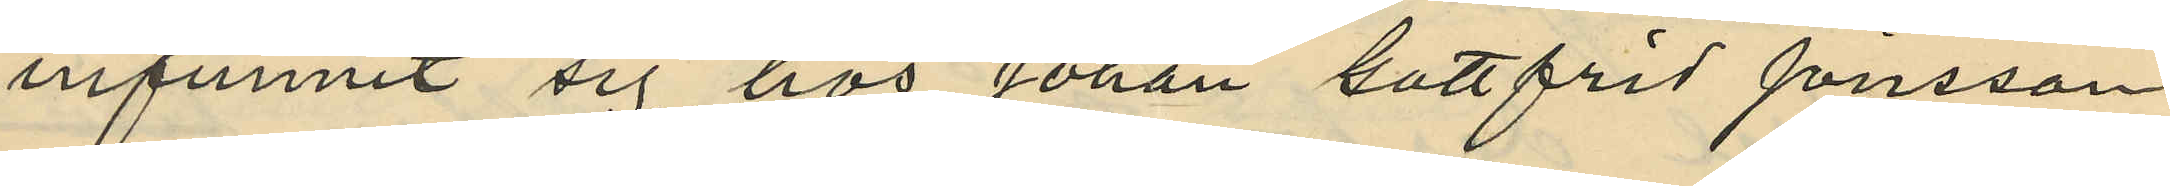infunnit sig hos Johan Gottfrid Jönsson
